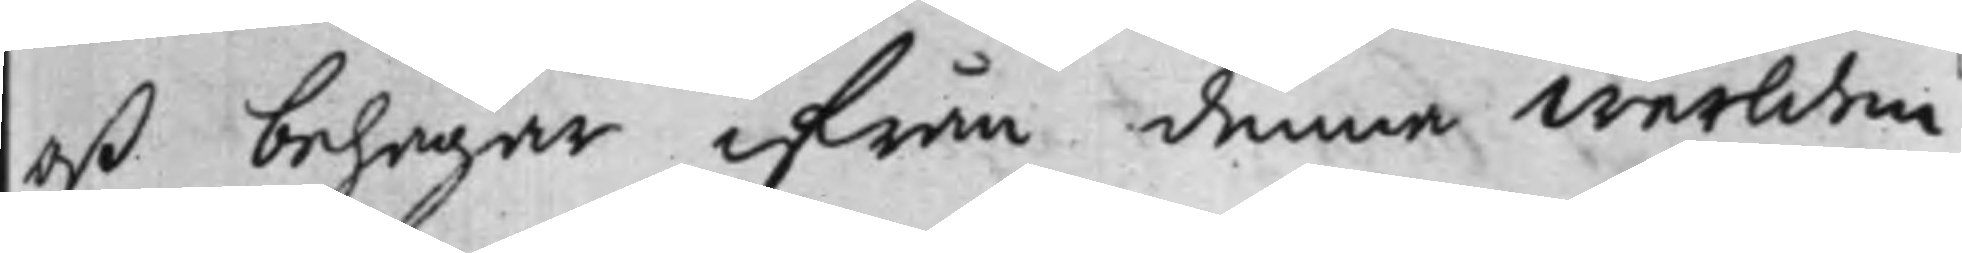oß behagar ifrån denna Werlden
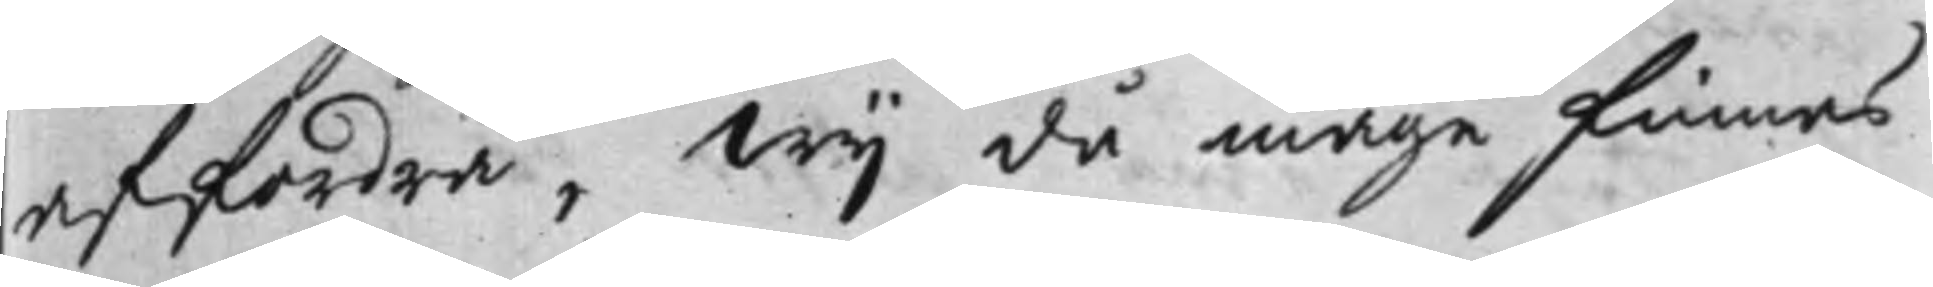affordra, Wij då måge finnas
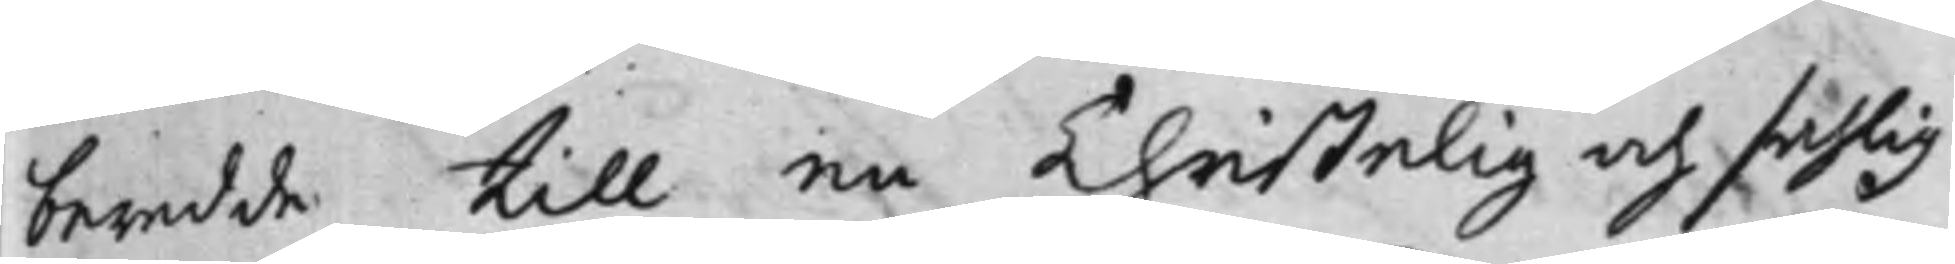beredde till en Christelig och sahlig
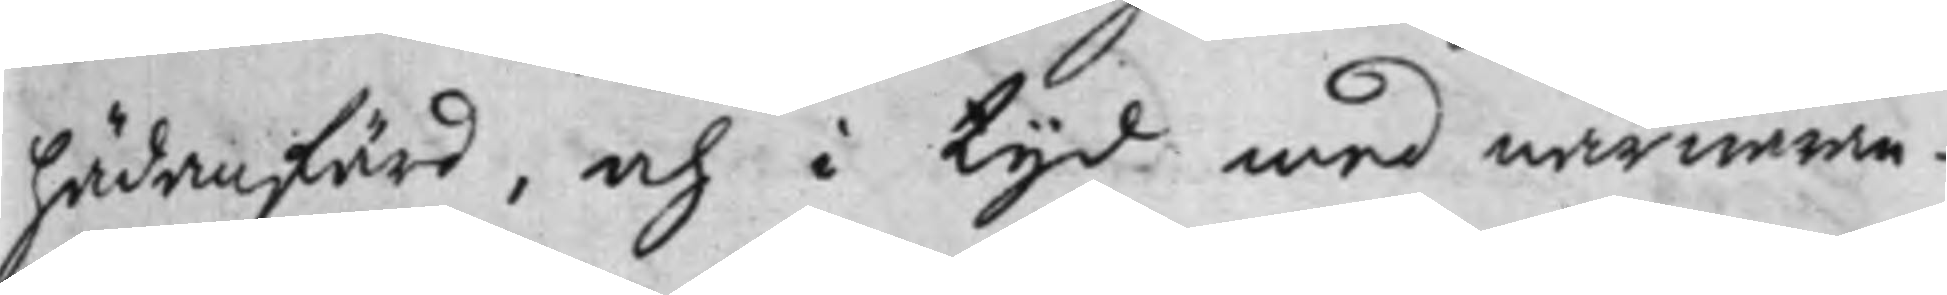hädanfärd, och i Tijd med närwaran¬
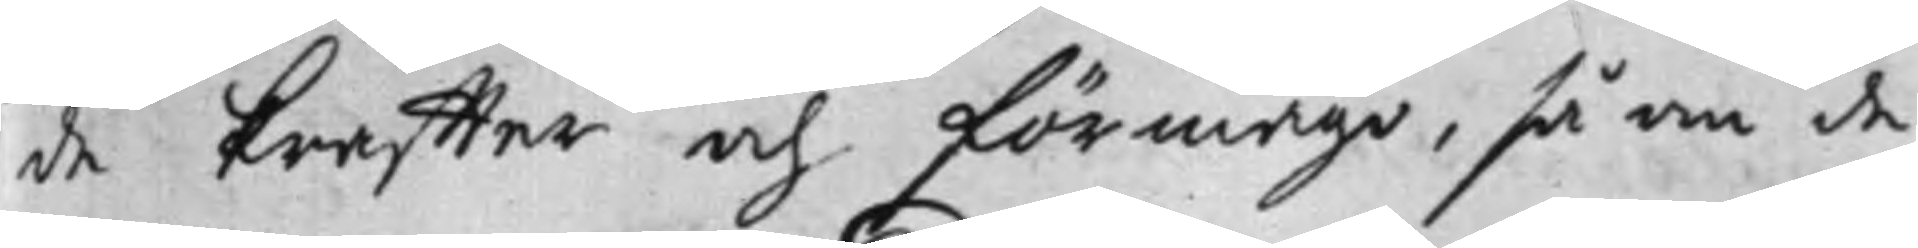de kraffter och förmåge, så om de
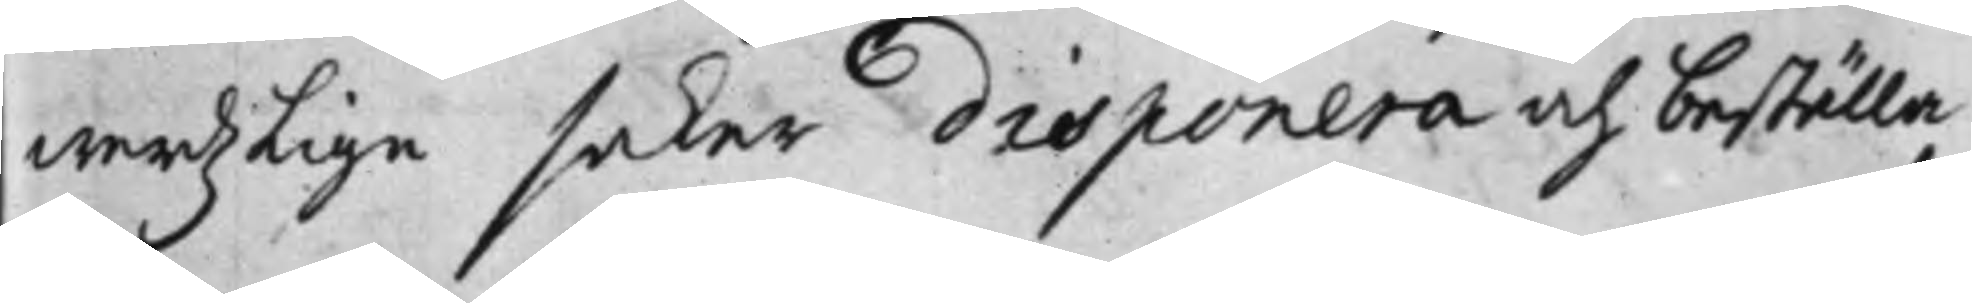werdzLige saker disponera och beställa,
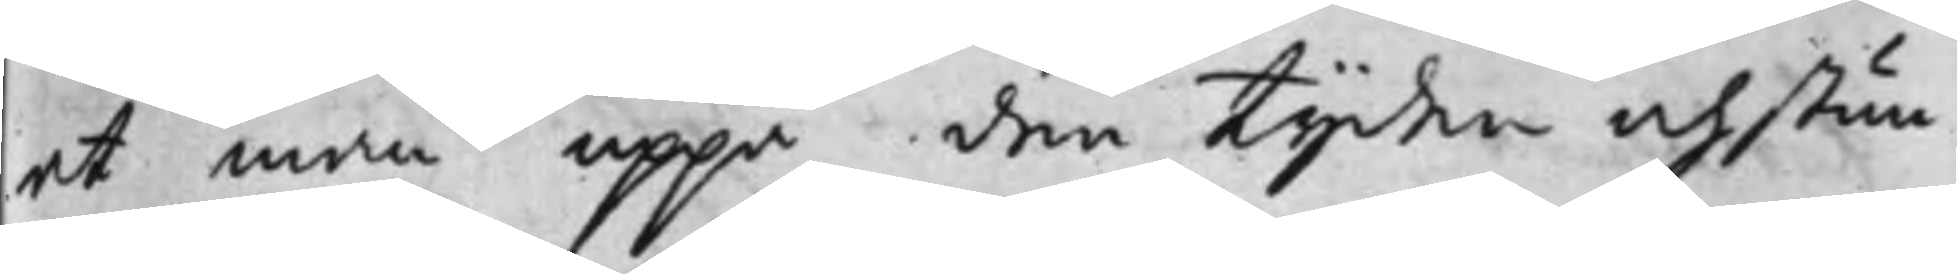at man uppå den Tijden och stun¬
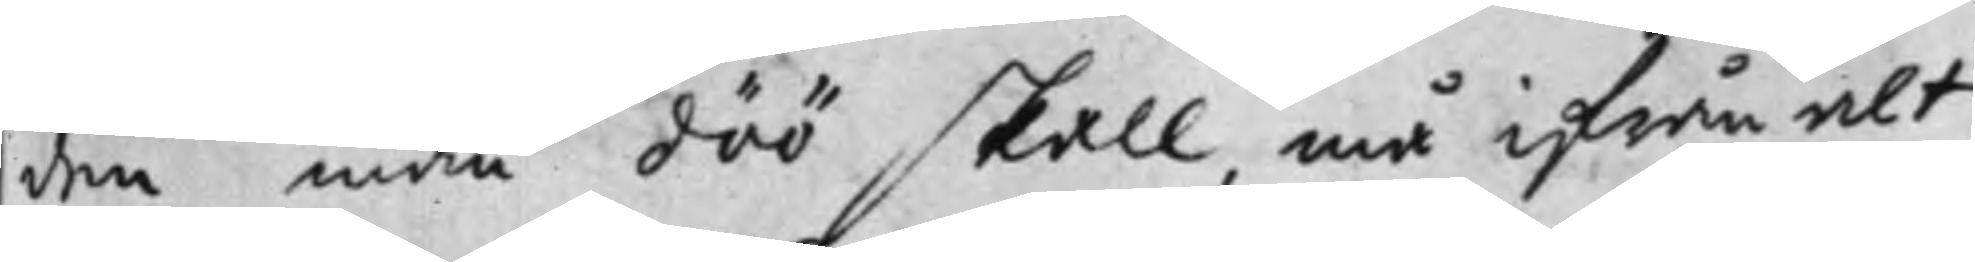den man döö skall, må ifrån alt
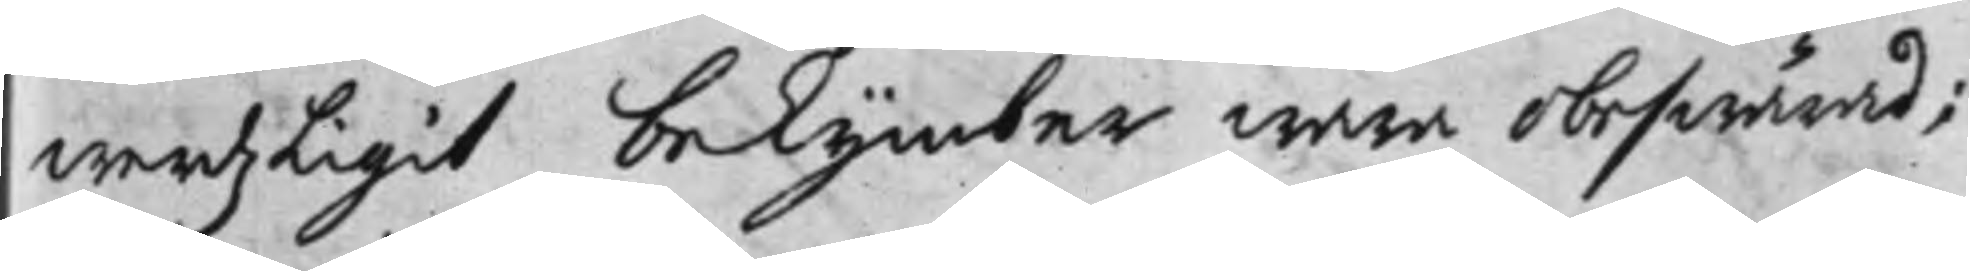werdzLigit bekymber wara obeswärad;
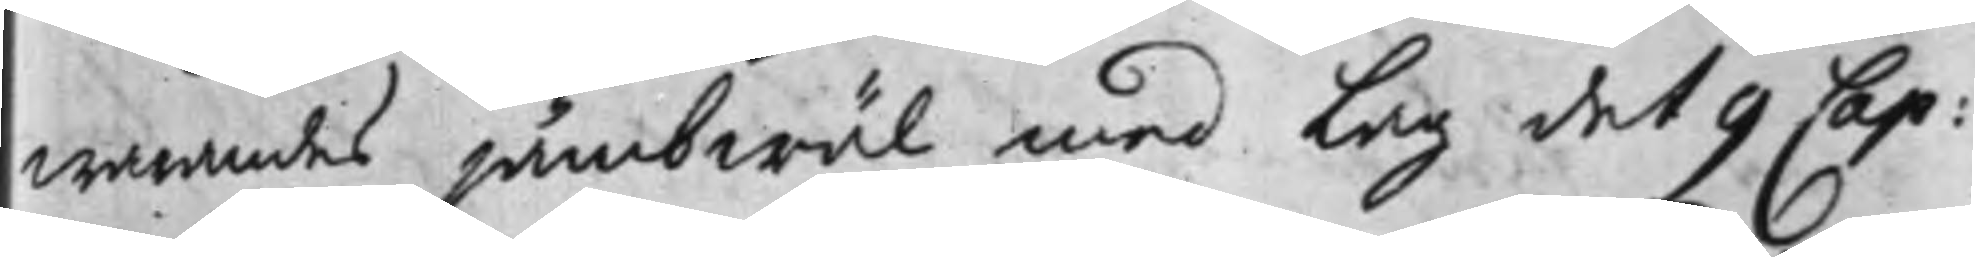warandes jämbwäl med Lag det 9 Cap:
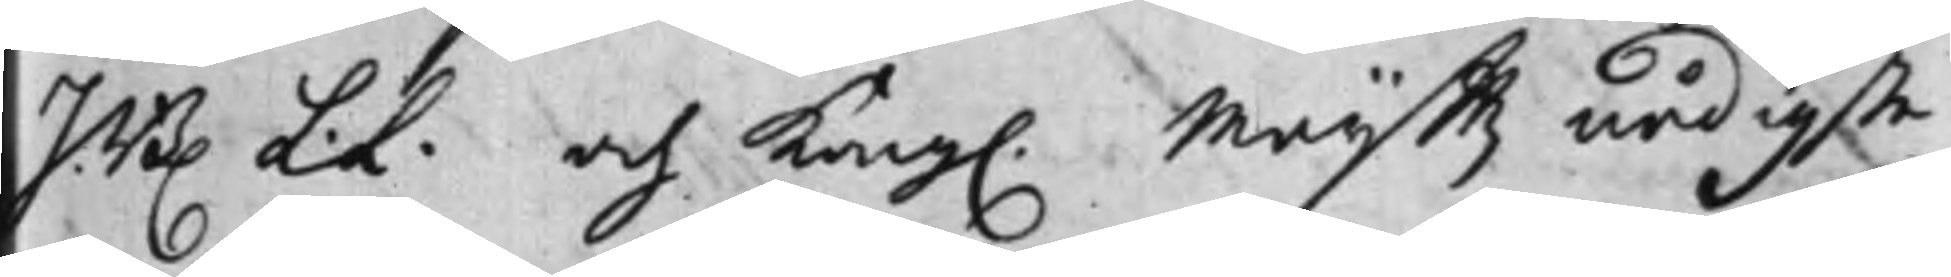JB. L.L. och Kong. Maijt.tz nådigste
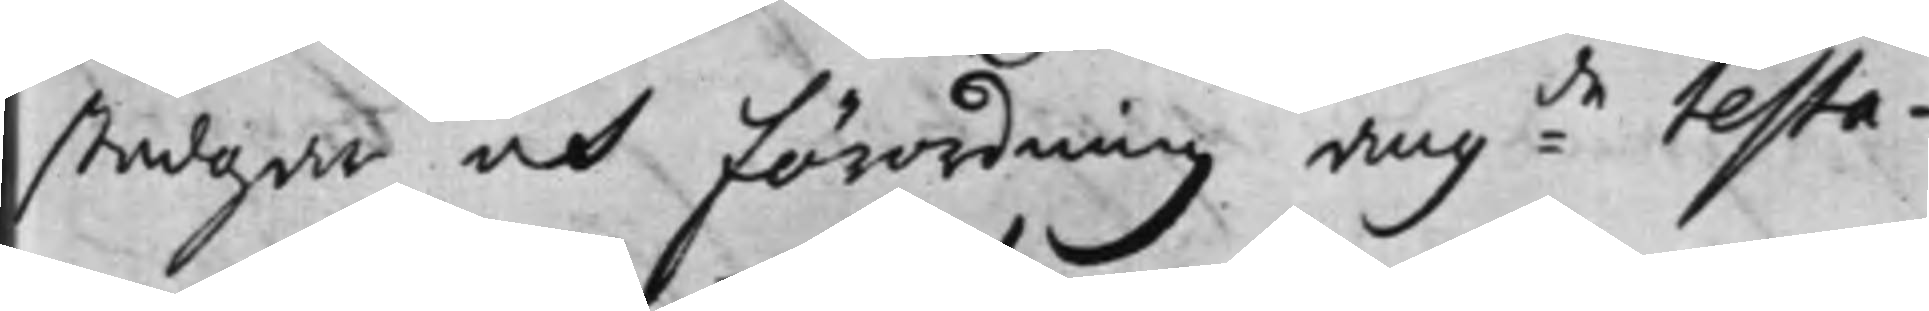stadgar och Förordning ang:de testa¬
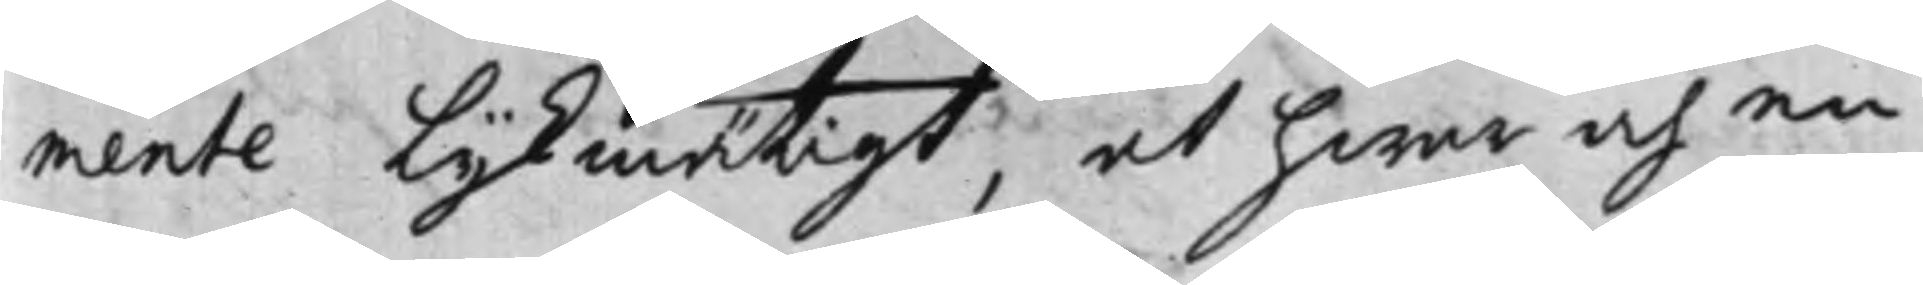mente Lijkmätigt, at hwar och en
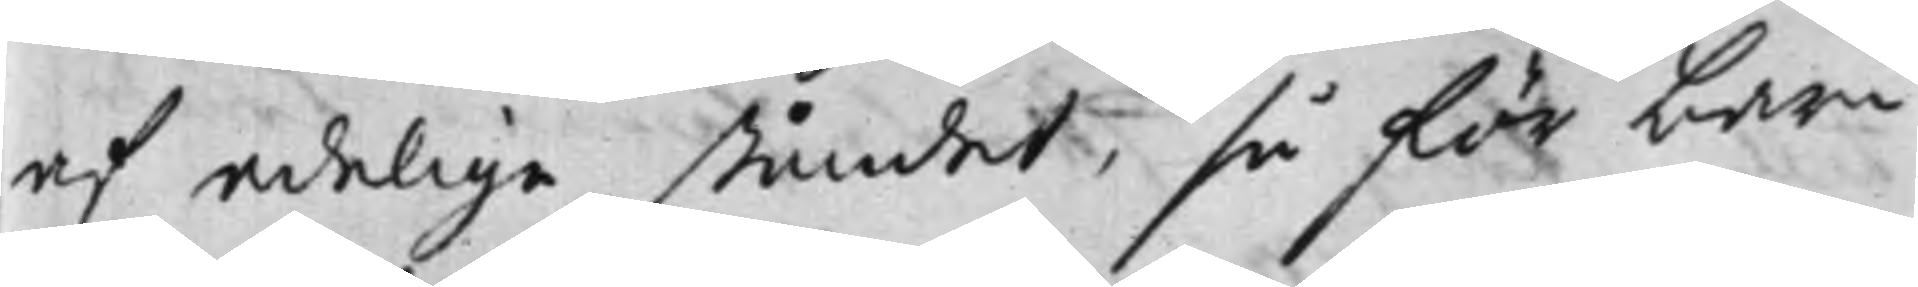af adelige ståndet, så för barn
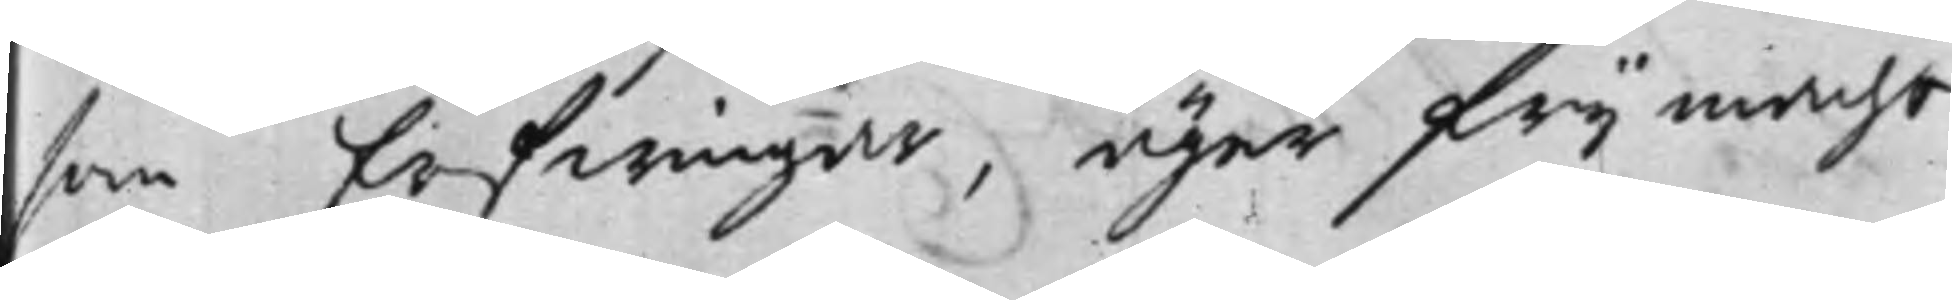som Erfwingar, äger frij macht
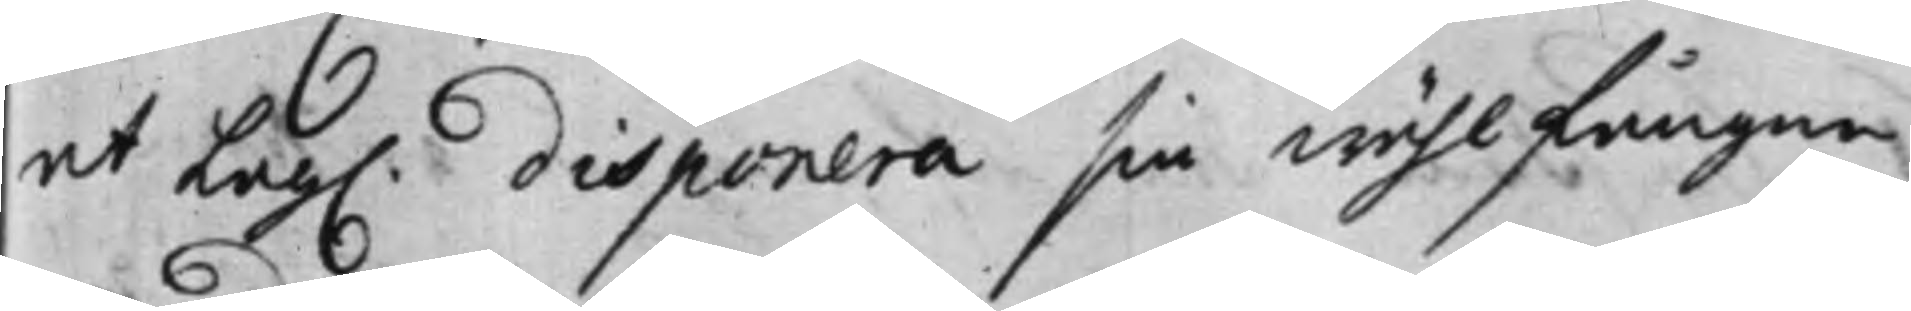at Lag. disponera sin wählfångne
